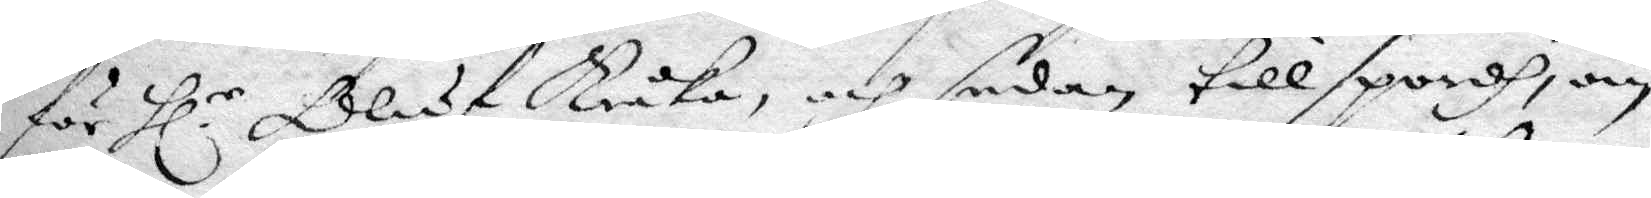för Hl.r Oluf Kråka, och sedan tillspordh, om 
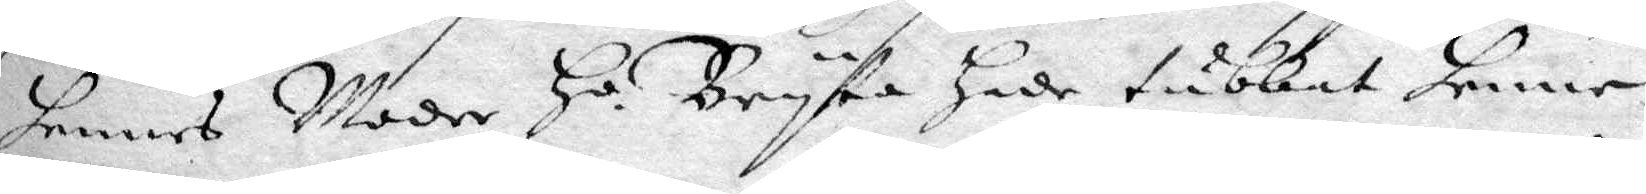hennes Moder Ho. Bryta hade tubkat henne 
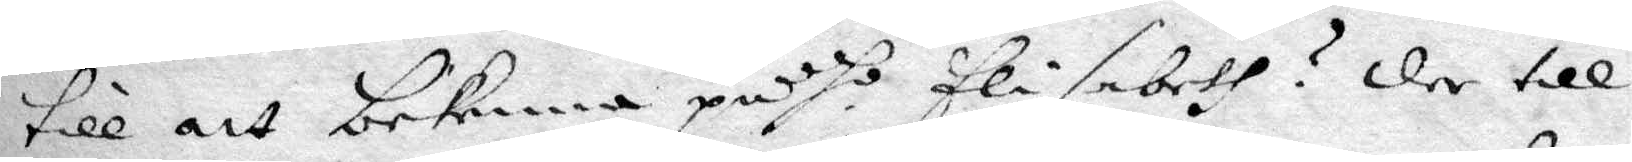till att bekenna på ho Elisabeth? der till
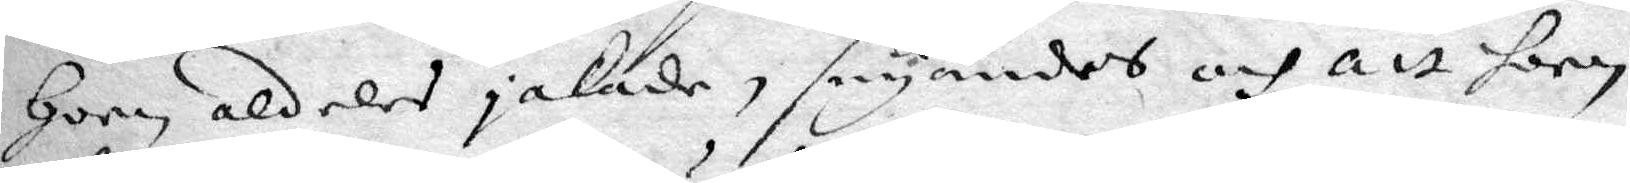hoon aldeles jakade, säyandes och att hoon
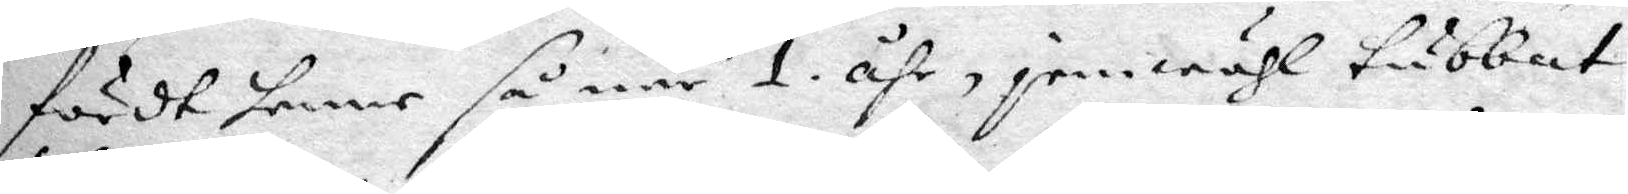fördt henne så när 1 åhr, jemwähl tubbat
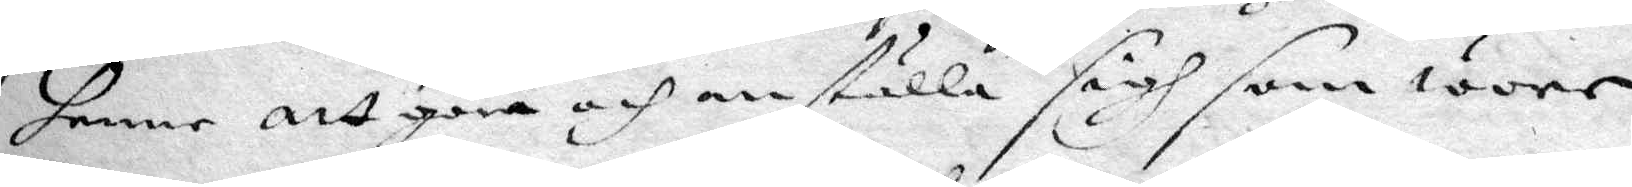henne att göra och anställa sigh som wore
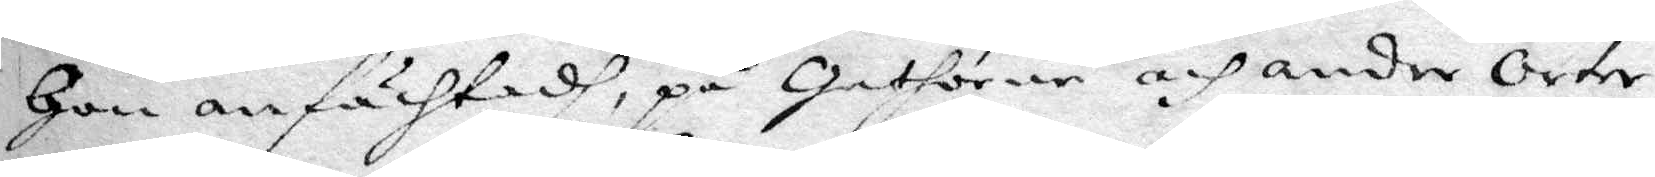Hon anfächtadh, på Gathorne och andre Orter
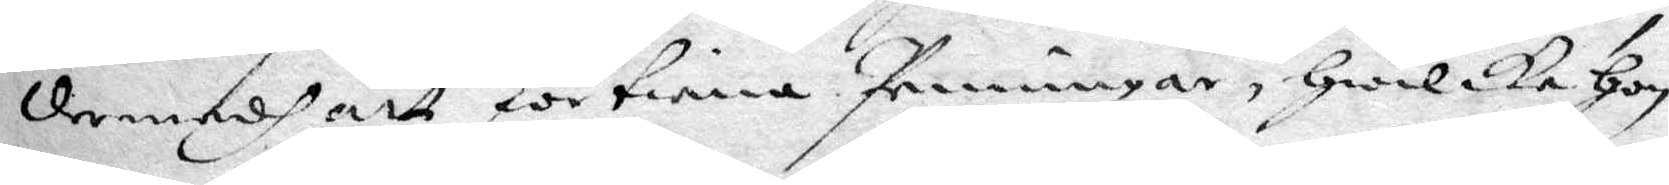dermedh att förtiena Penningar, hwilka hon
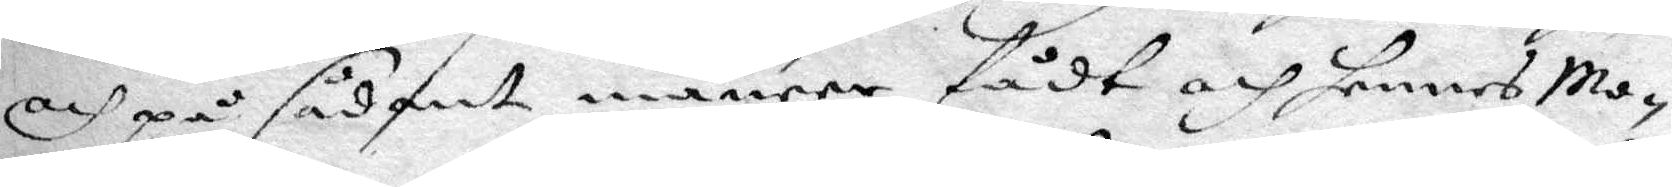och på sådant maneer fådt och hennes Mo¬
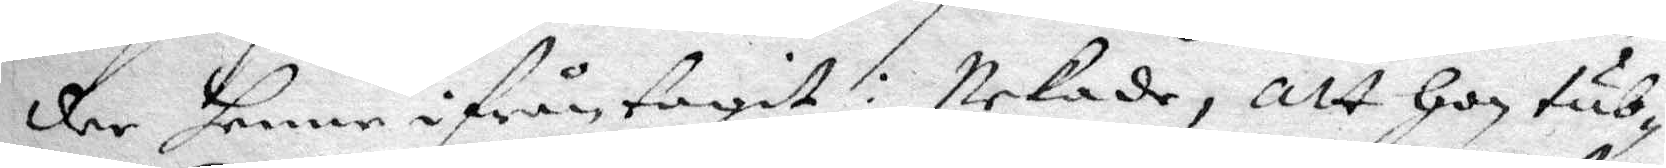der henne ifrån tagit: Nekade, att hon tub¬
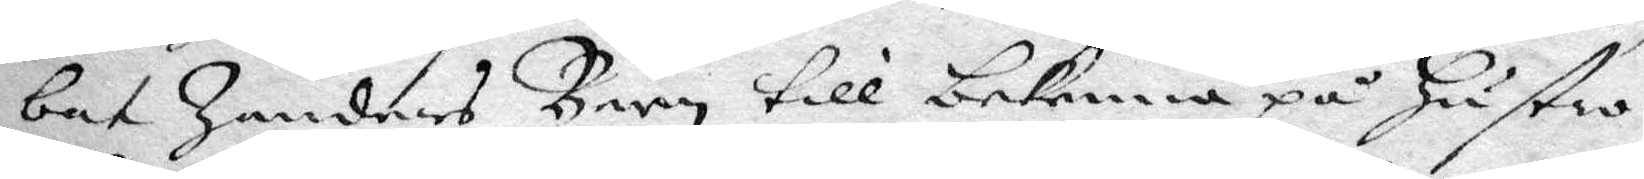bat Zanders Barn till bekenna på hustro
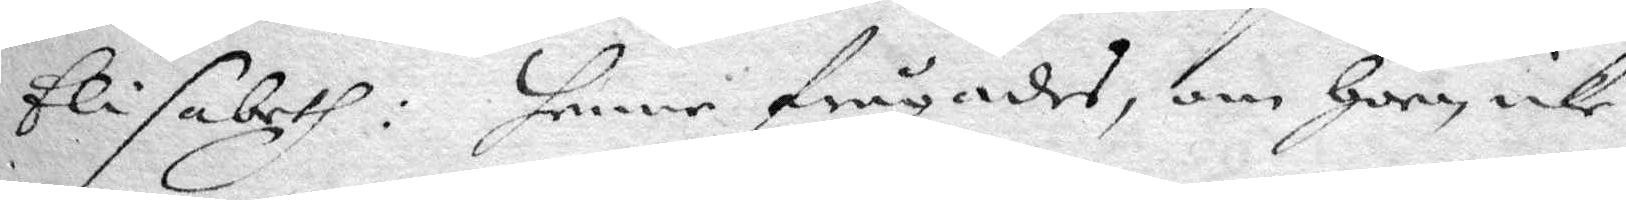Elisabeth: henne frågades, om hoon icke
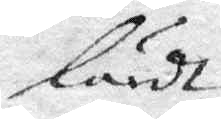lärdt
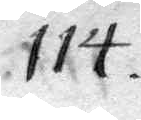114.
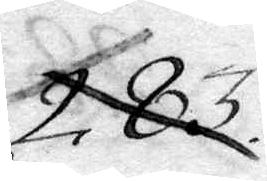283.
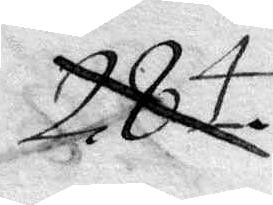284.
